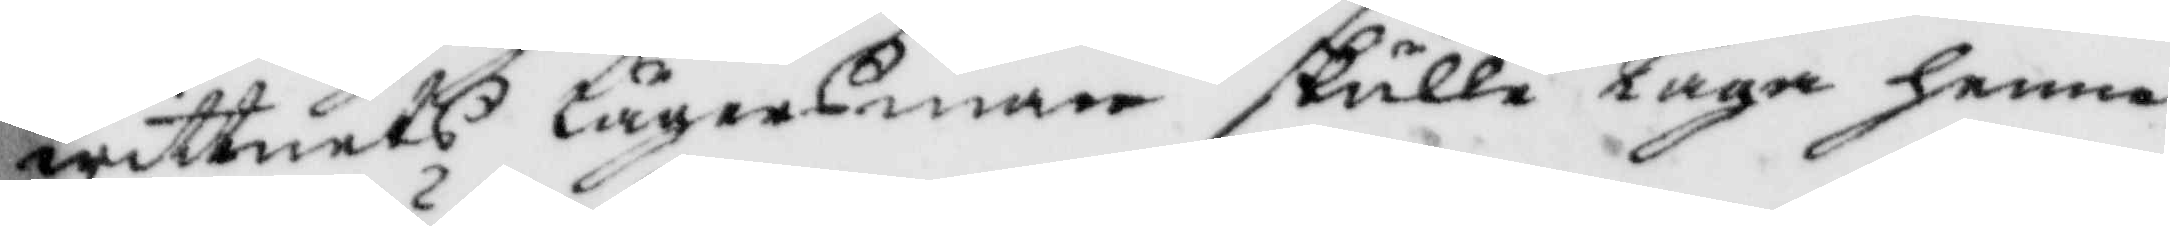wittnets lägersman skulle taga henne
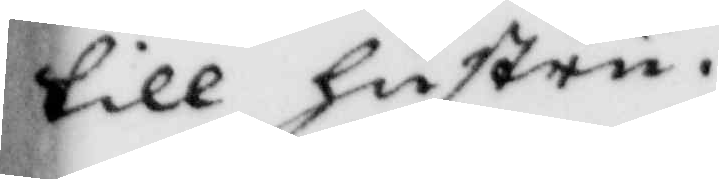till hustru.
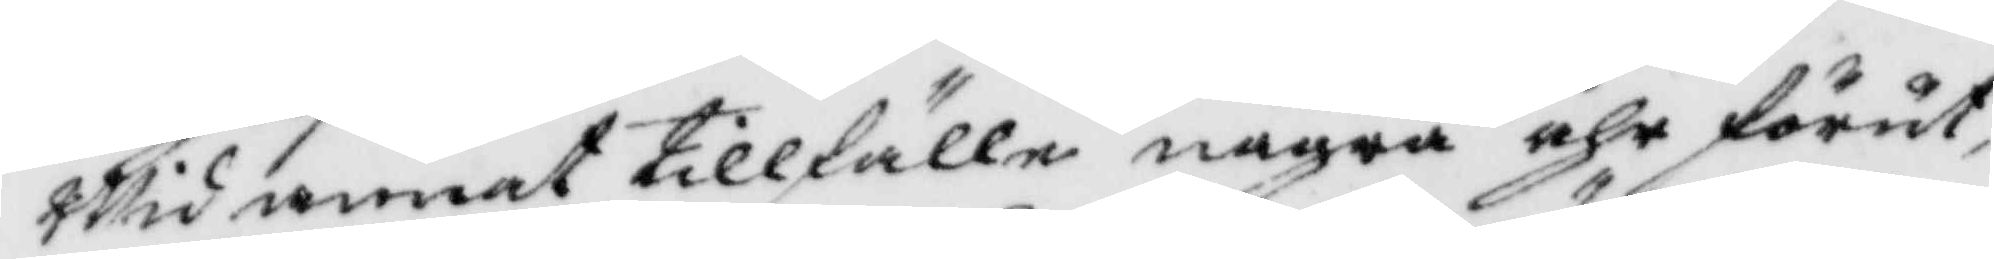Wid annat tillfälle några åhr förut,
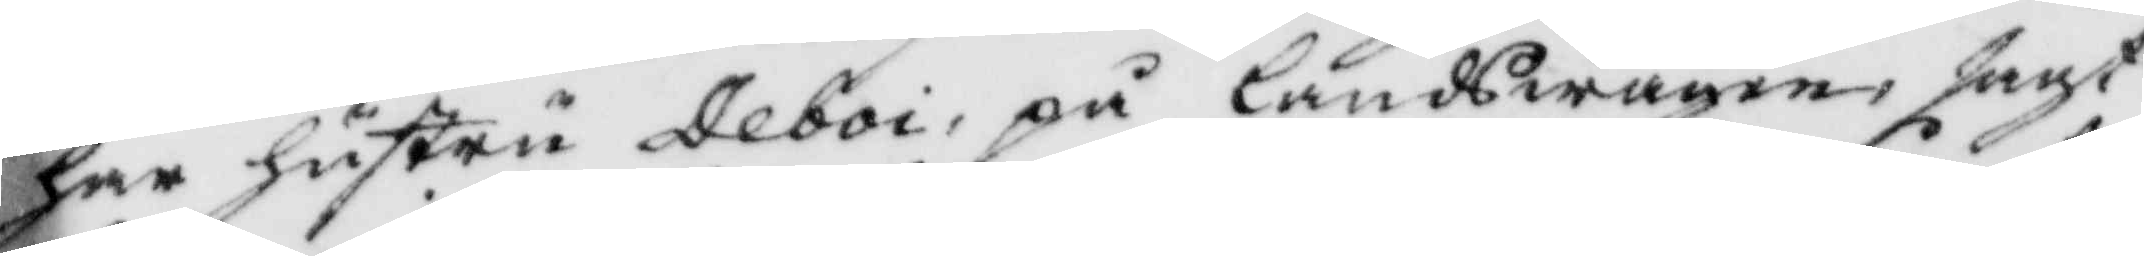har hustru Deboi, på landswägen, sagt
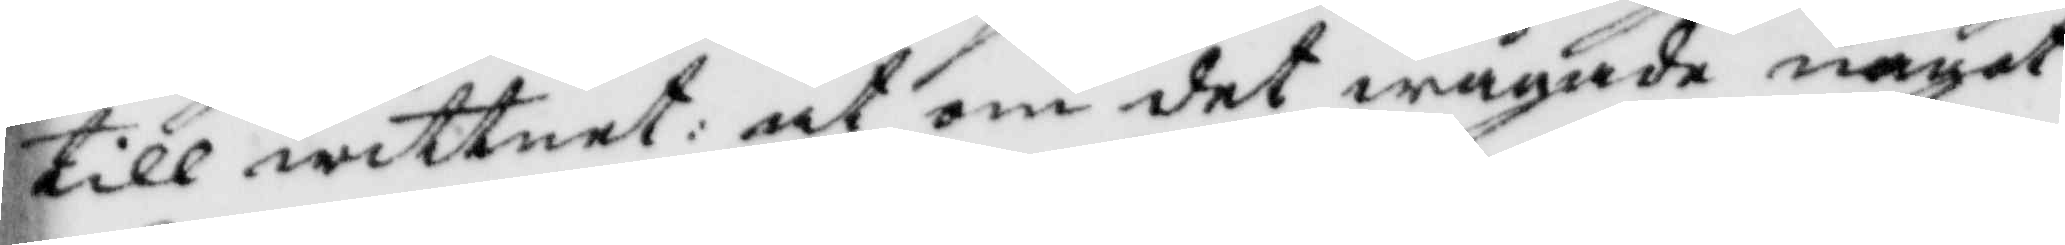till wittnet: at om det wågade något
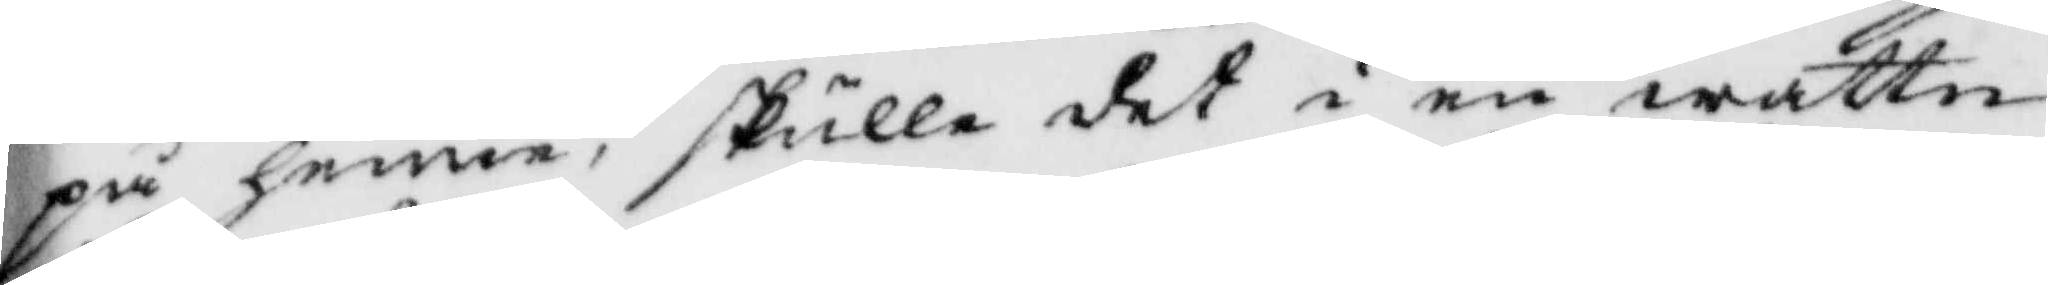på henne, skulle det i en wattn¬
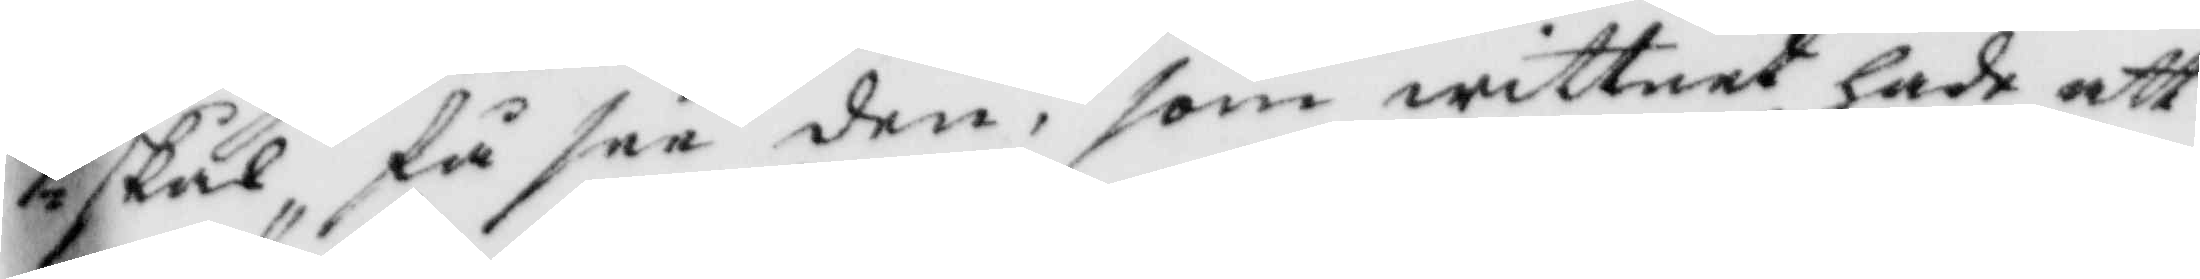skål få see den, som wittnet hade att
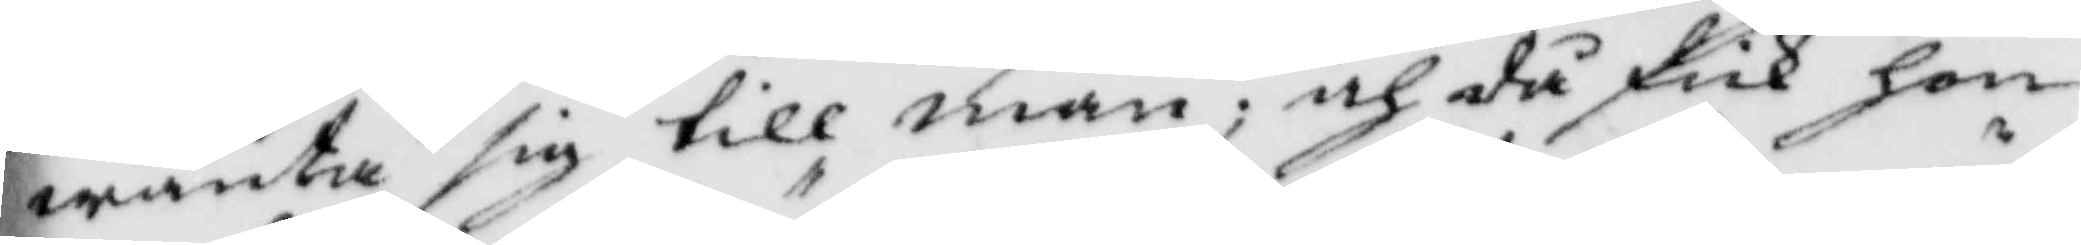wönta sig till man; och då fick hon
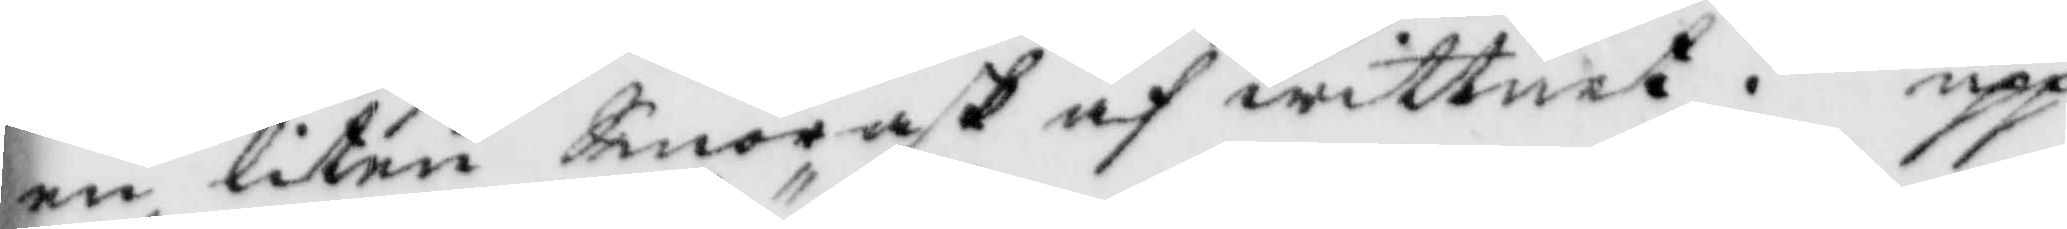en liten Smörask af wittnet. upp¬
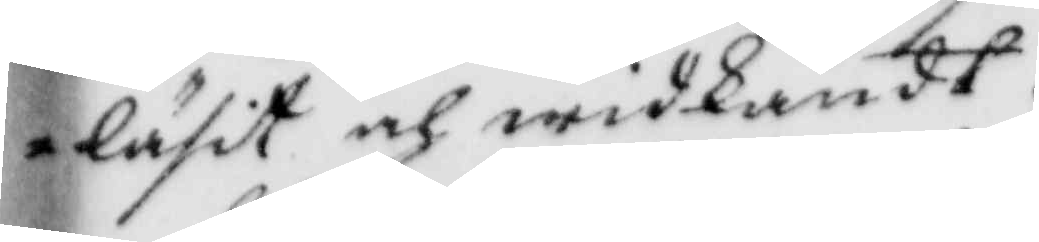läsit och widkändt.
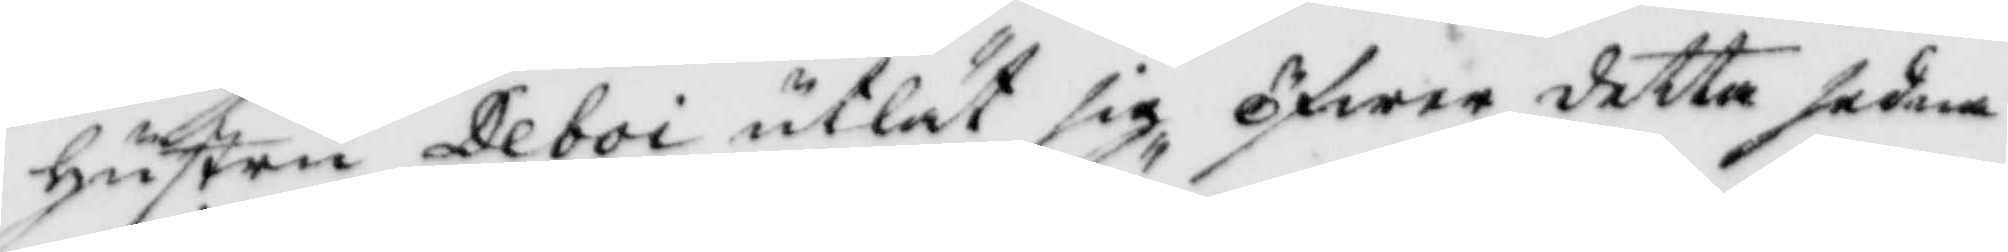hsutru Deboi utlät sig öfwer detta sedna¬
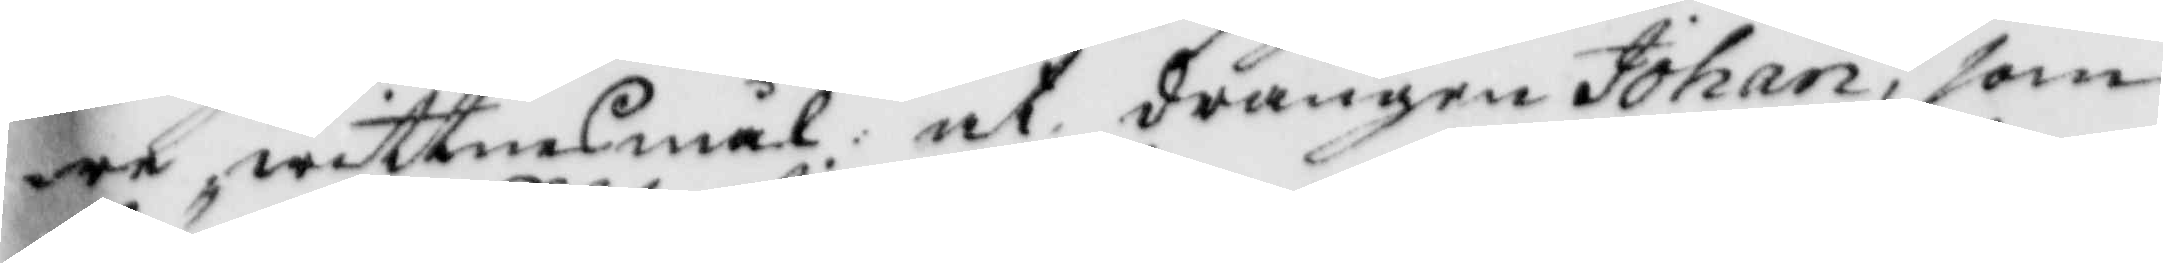re wittnesmål at drängen Johan, som
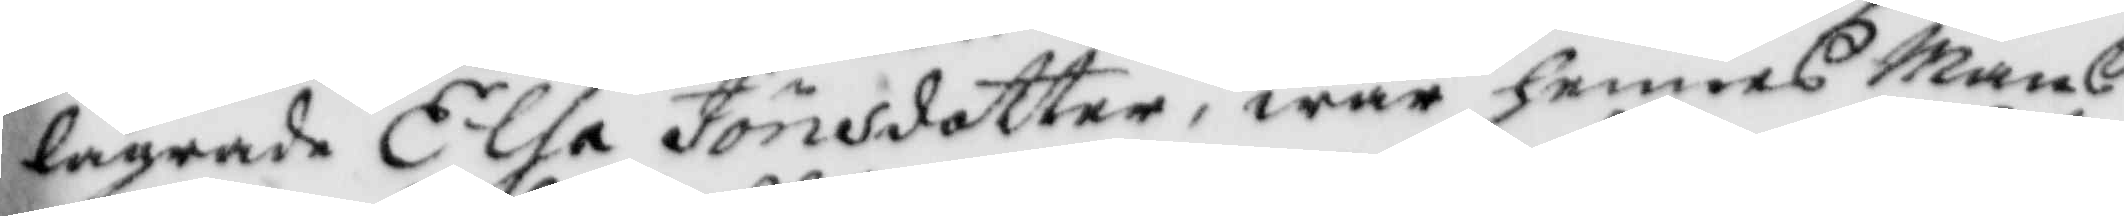lägrade Elsa Jönsdotter, war hennes Mans
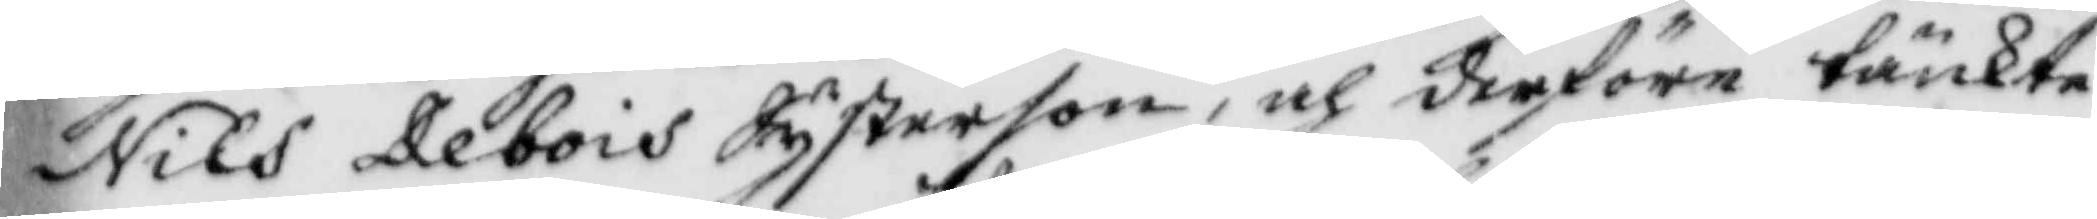Nils Debois Systerson, och derföre tänkte
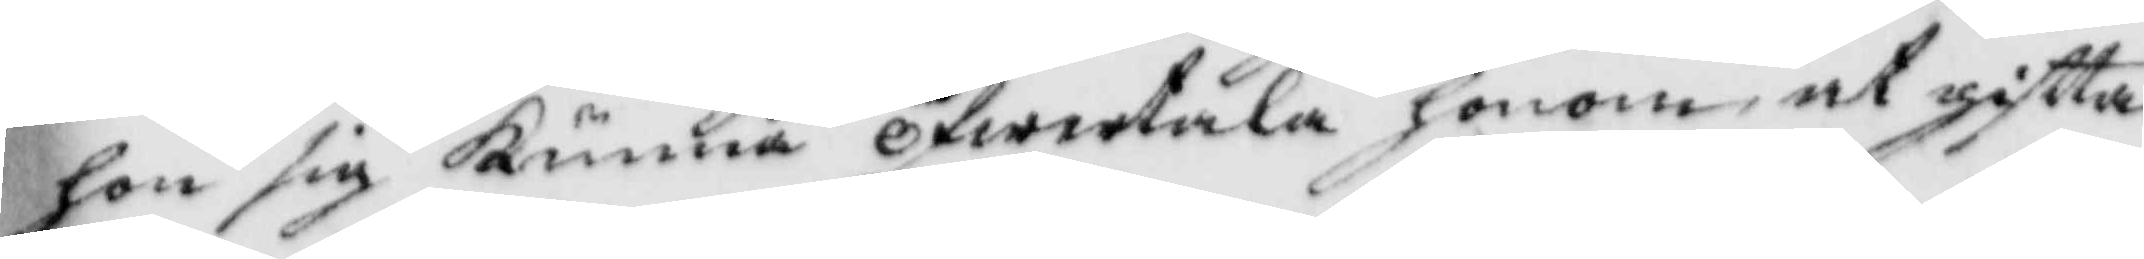hon sig Kunna öfwertala honom at giftta
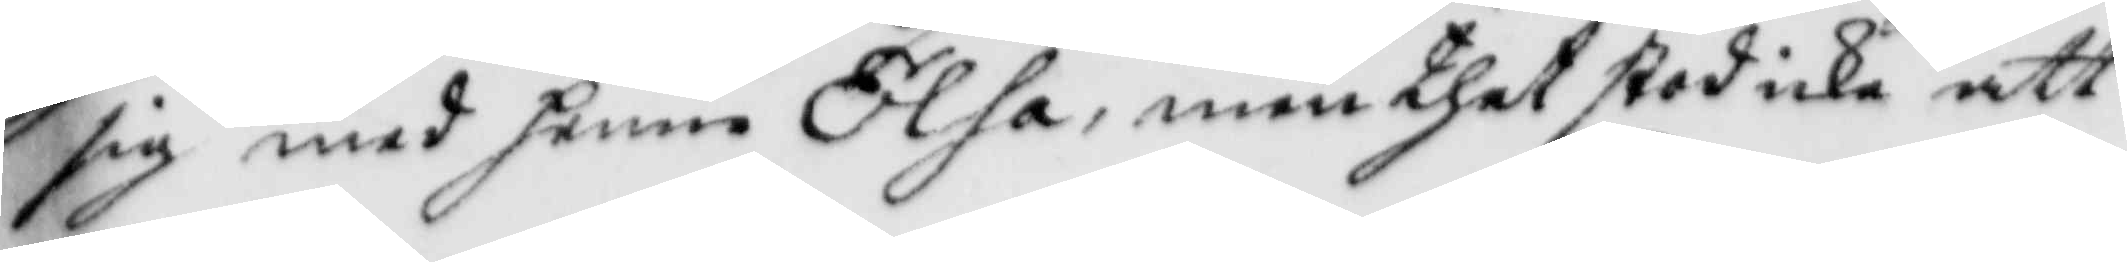sig med henne Elsa, men thet stod icke att
